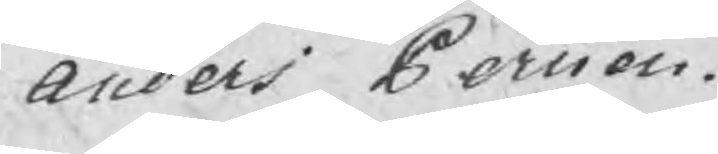Anders Persson.
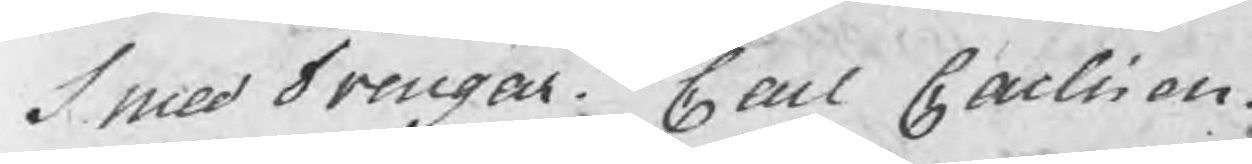Smed Drengar Carl Carlsson.
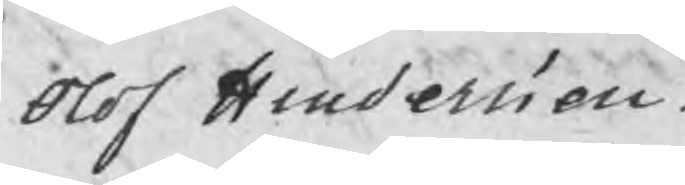Olof Hindersson.
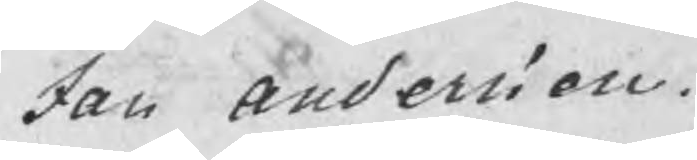Jan Andersson.
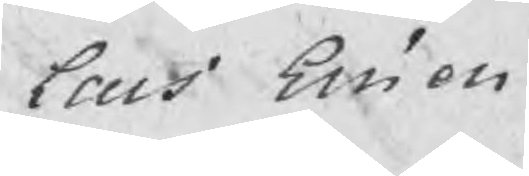Lars Ersson.
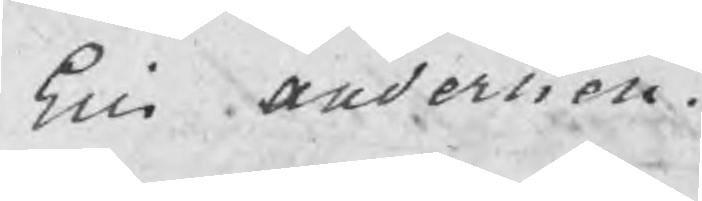Eric Andersson.
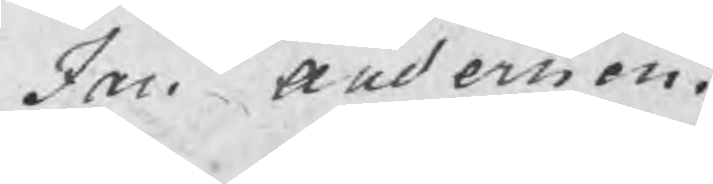Jan Andersson.
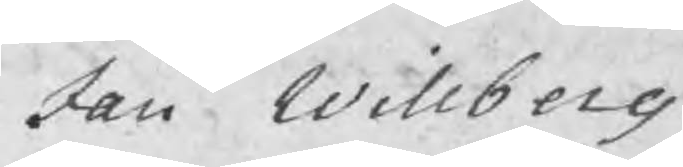Jan Willberg
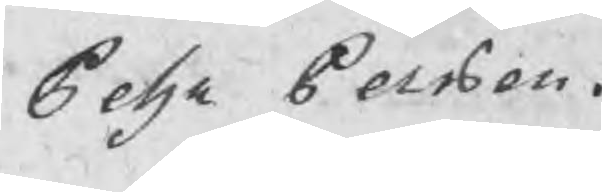Pehr Persson.
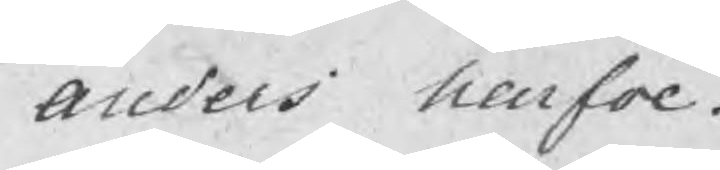Anders Narfve.
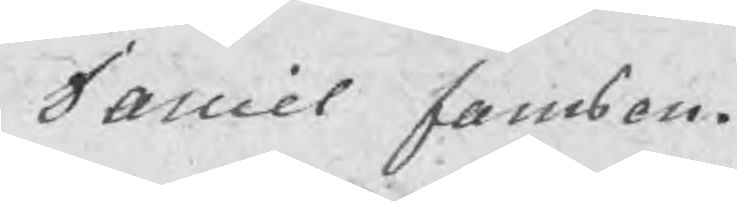Daniel Jansson.
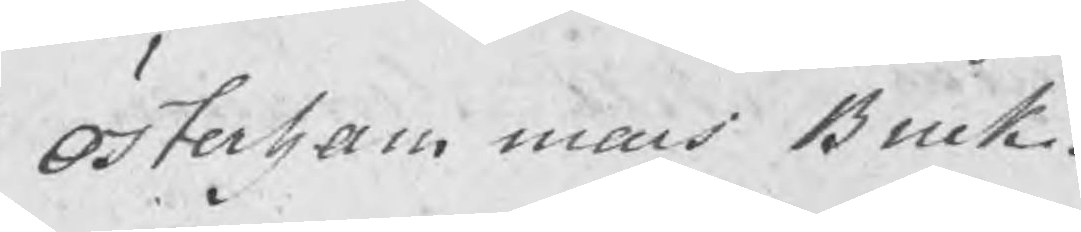Österhammars Bruk.
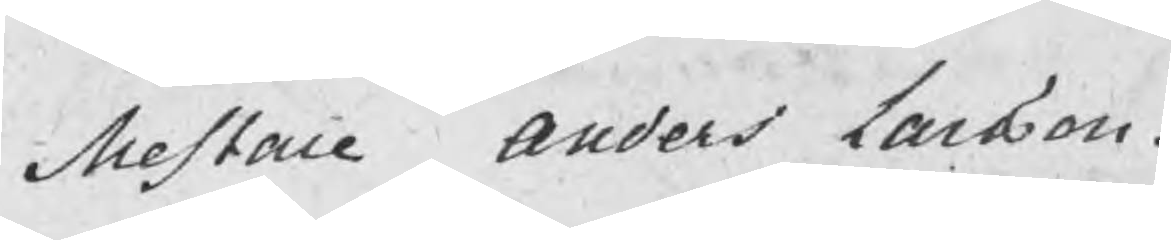Mestare Anders Larsson.
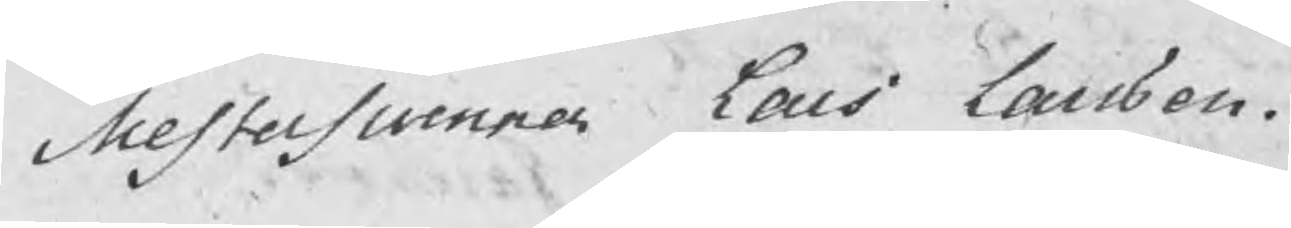Mestersuenner Lars Larsson.
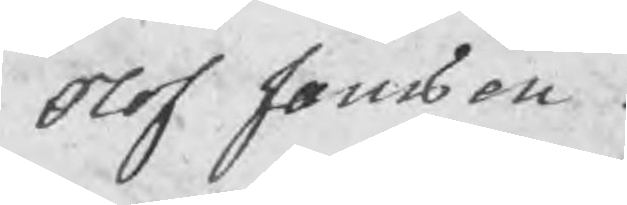Olof Jansson.
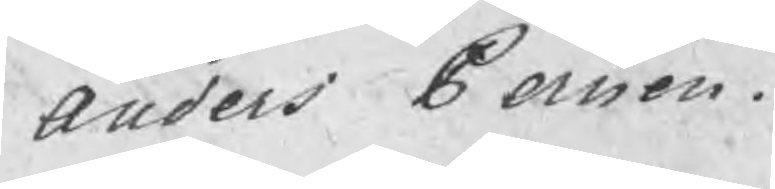Anders Persson.
